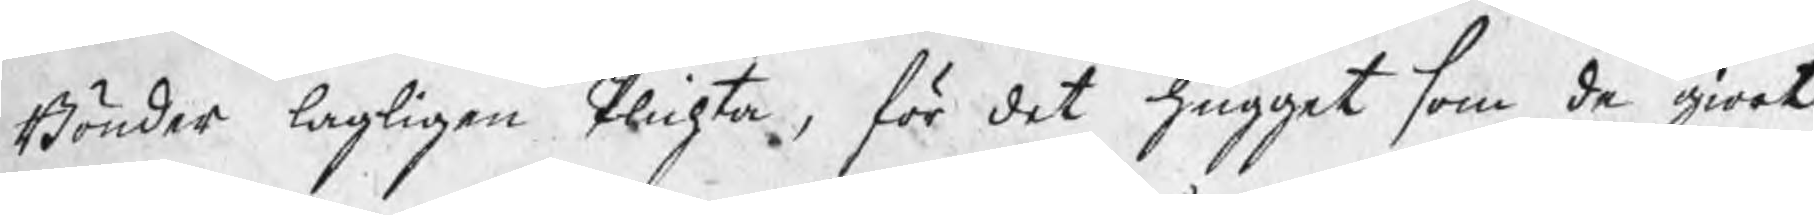Bönder lagligen Plichta, för det hugget som de giort
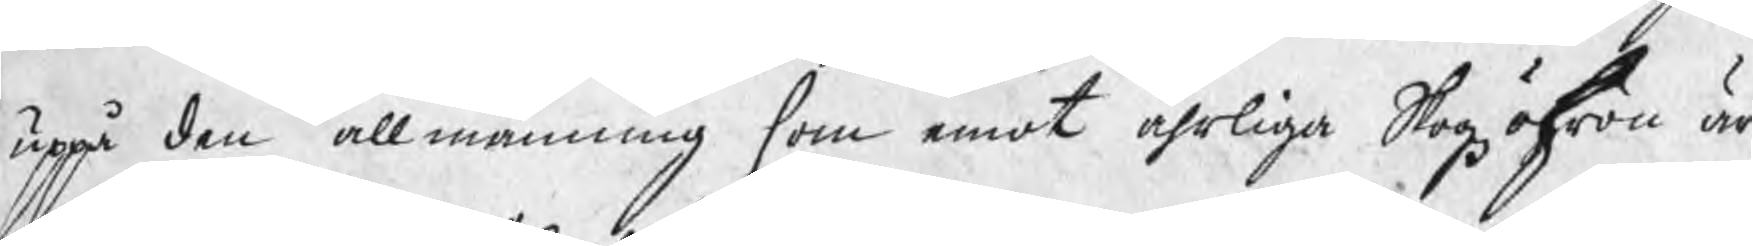uppå den allmänning som emot åhrliga Skogzöhren är
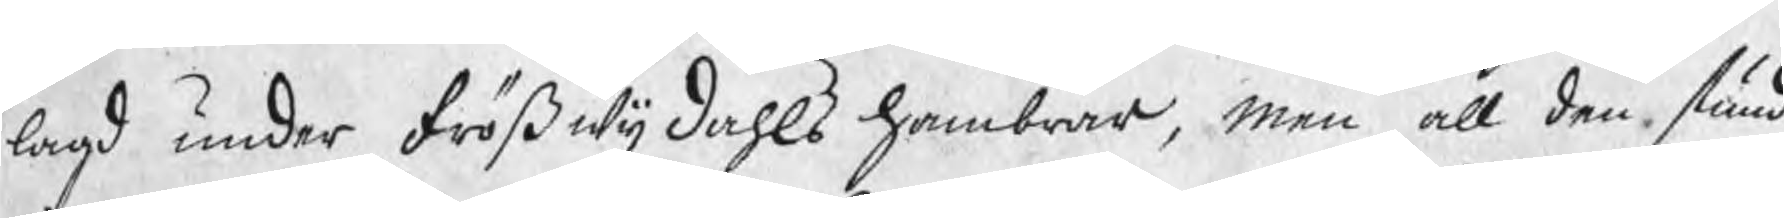lagd under Frößwijdahls Hambrar, men all den stund
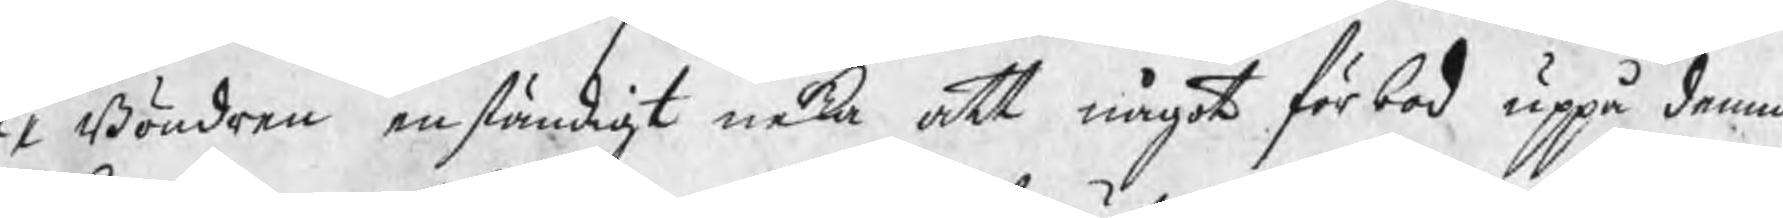1 Böndren enständigt neka att något förbod uppå denna
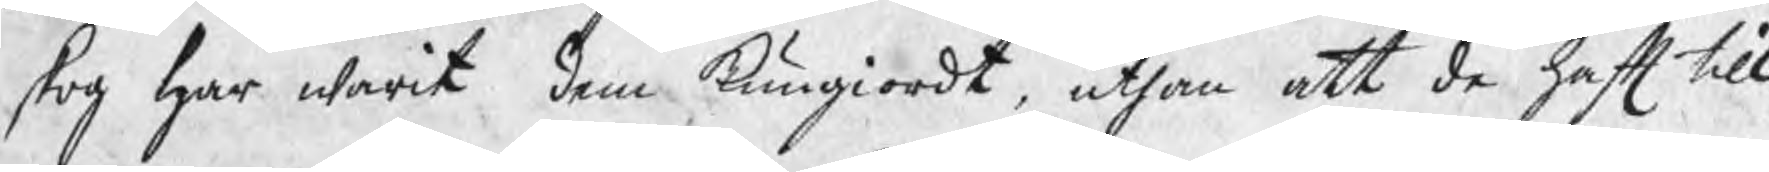skog har warit dem kungiordt, uthan att de haft till¬
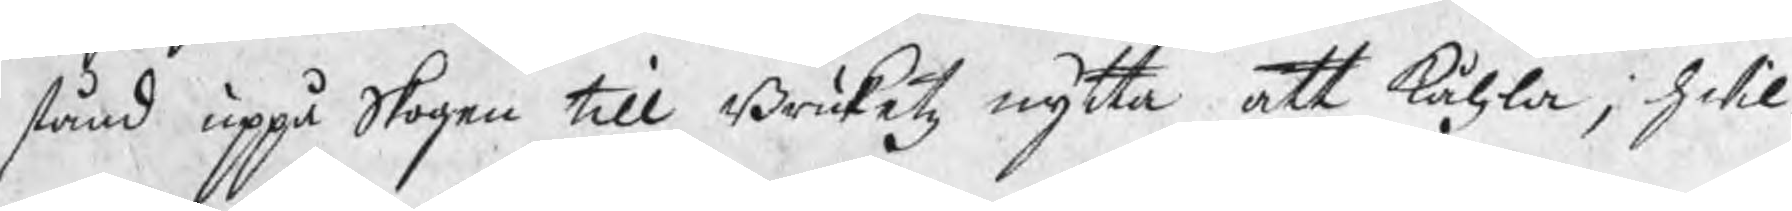stånd uppå Skogen till Bruketz nytta att kåhla, hwil¬
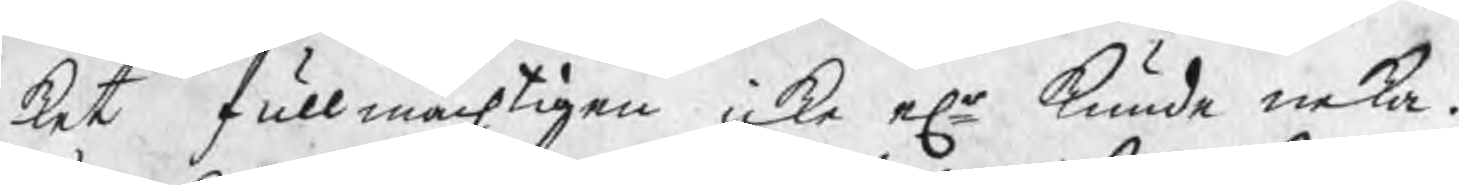ket fullmächtigen icke elr kunde neka.
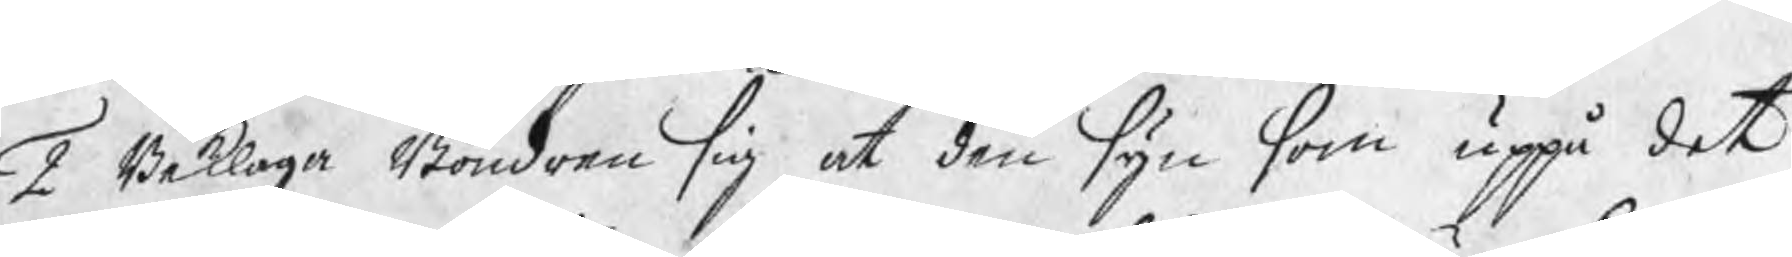2 Beklaga Böndren sig at den syn som uppå det
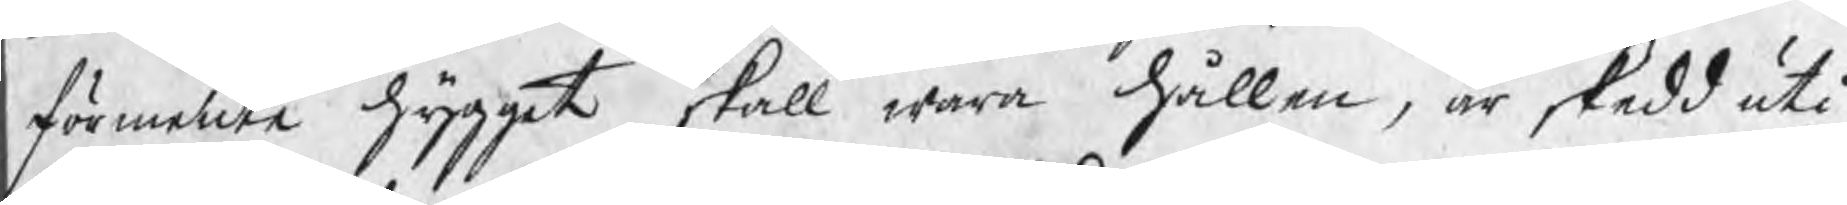förmente hygget skall wara hållen, är skedd uti
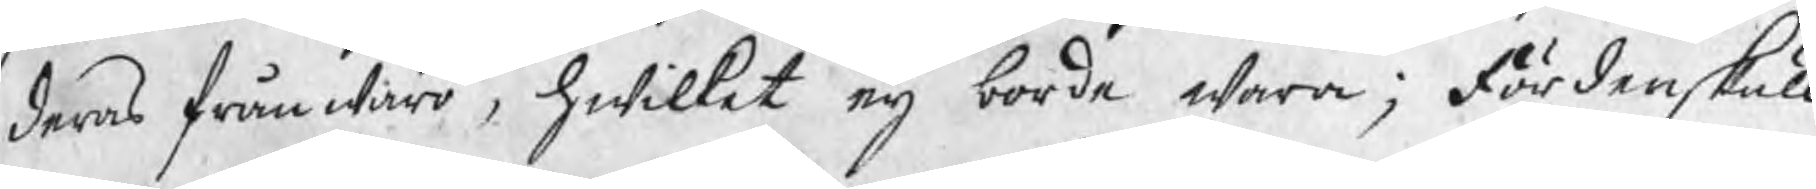deras frånwaro, hwilket eij borde wara; Fördenskull
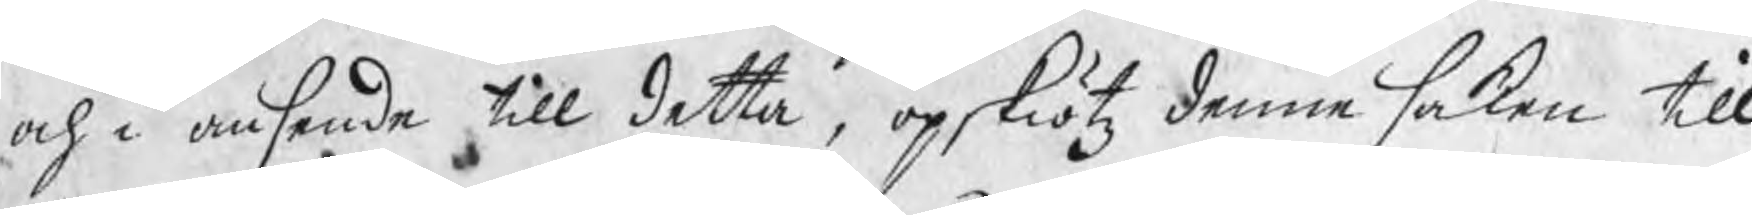och i ansende till detta, opskötz denne saken till
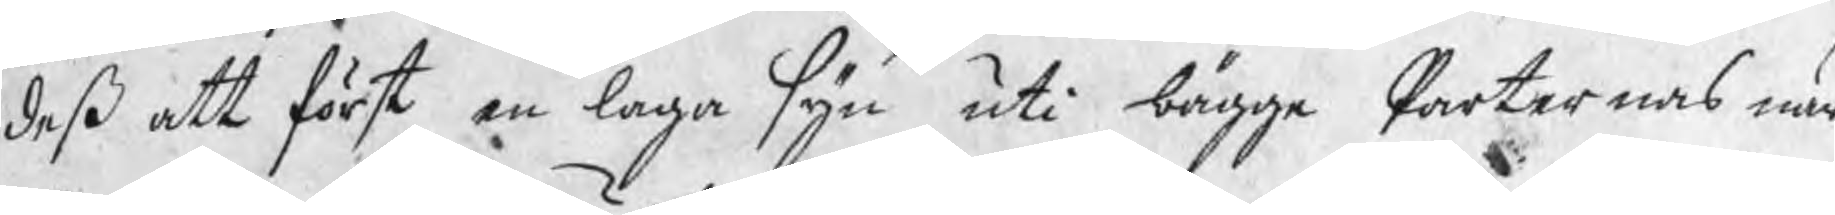deß att först en laga syn uti bägge Parternas när¬
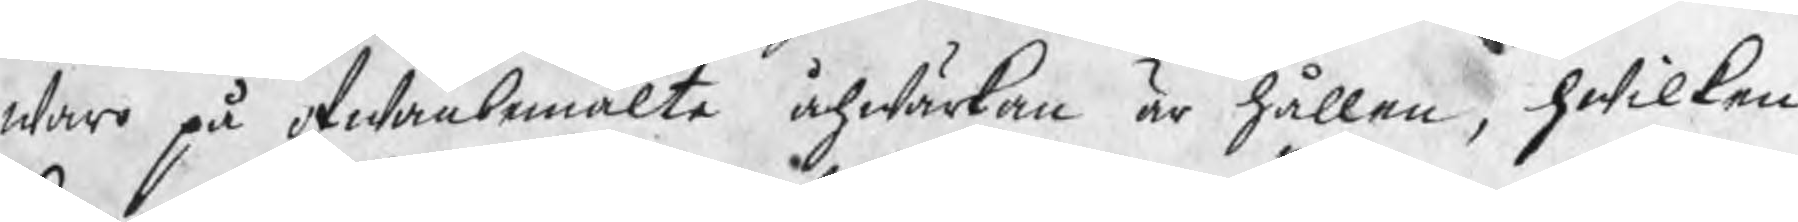waro på ofwanbemälte åhwärkan är hållen, hwilken
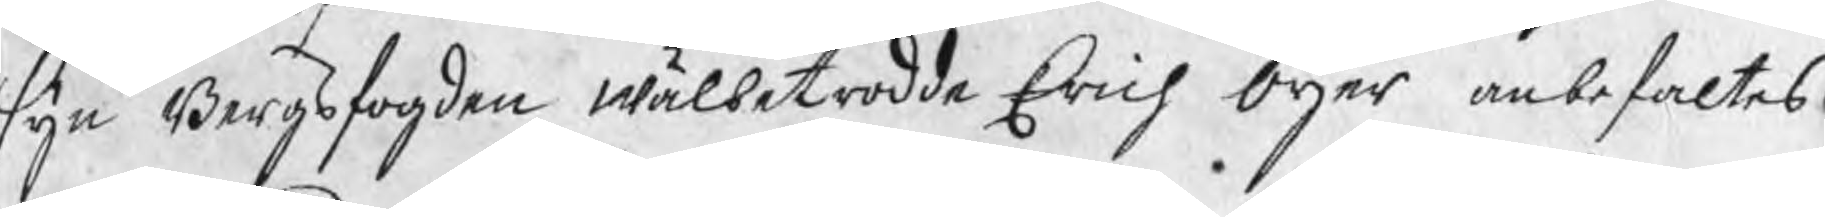syn Bergsfogden wälbetrodde Erich Öijer anbefaltes
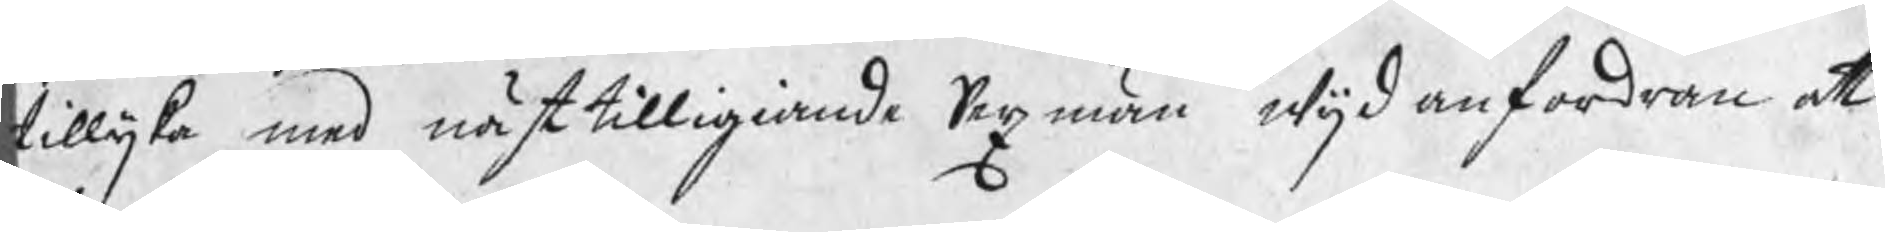tillijka med nästtilligiande Sexmän wijd anfordran at
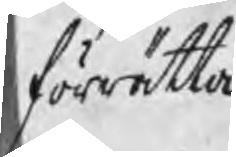förrätta
